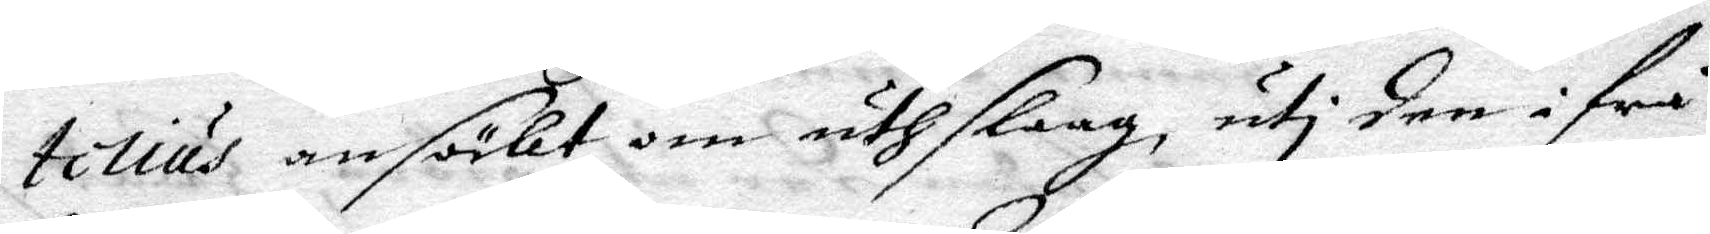tilius ansökt om uthslaag, uti den ifrån
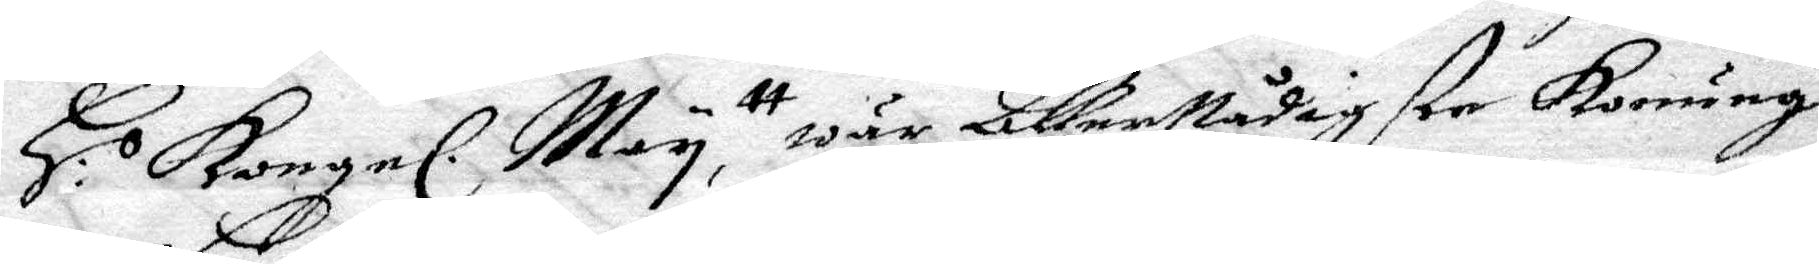H: Kongel. May ttAllernådigste Konung
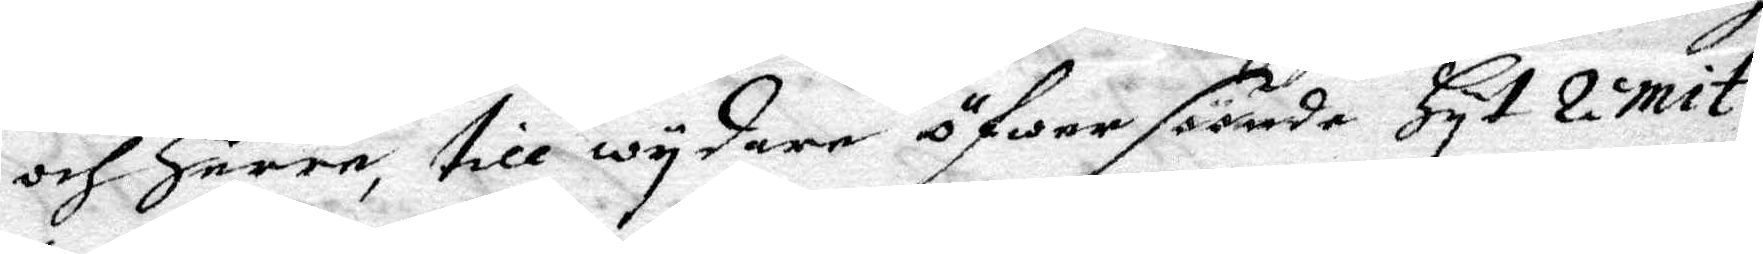och Herre, till wydare öfwer säände Hyt remit¬
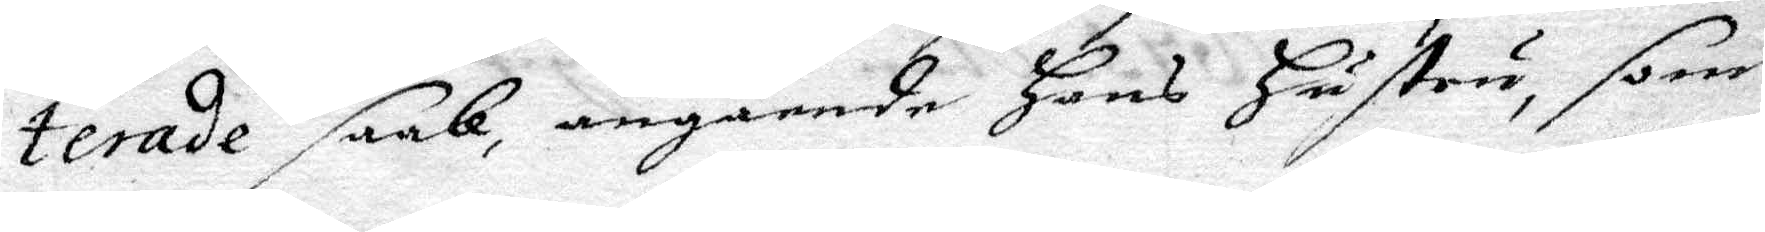terade saak, angående Hans Hustru, som 
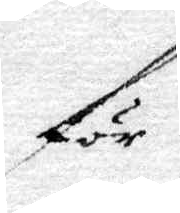för
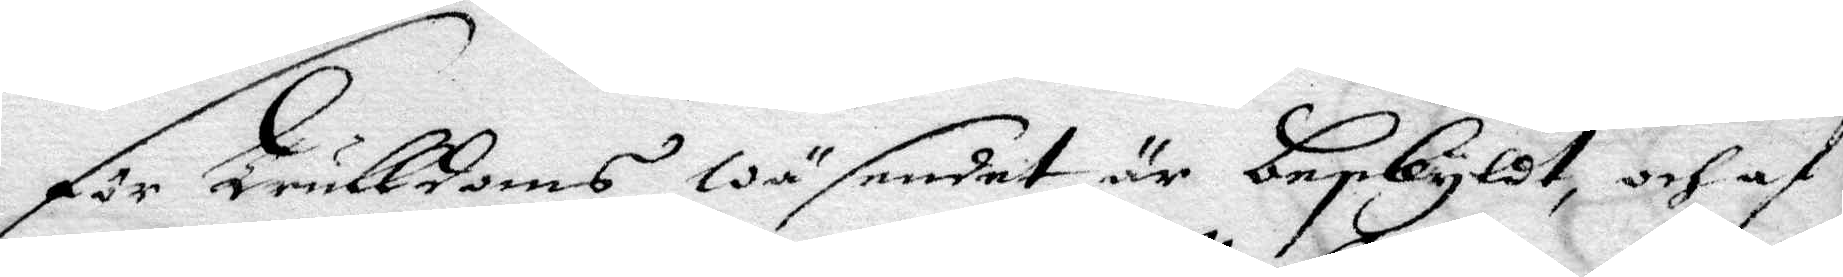för Trulldoms wäsendet är beskyldt, och af
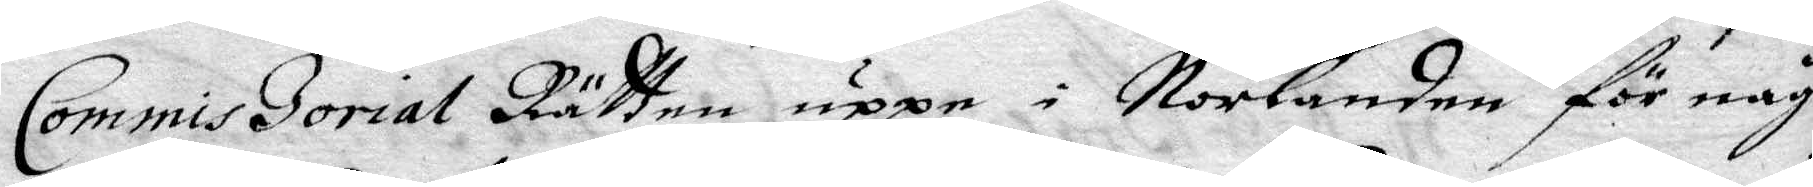Commiszorial Rätten uppe i Norlanden för någon
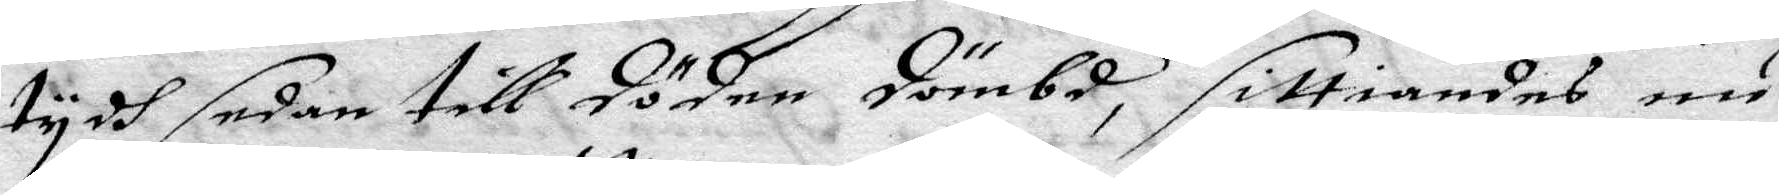tydh sedan till döden dömbd, sittiandes nu
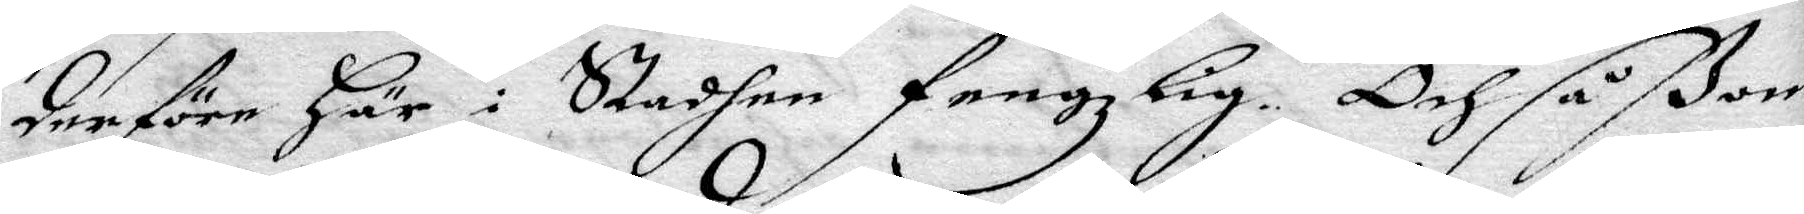derföre Här i Staden fengzlig. Och såßom
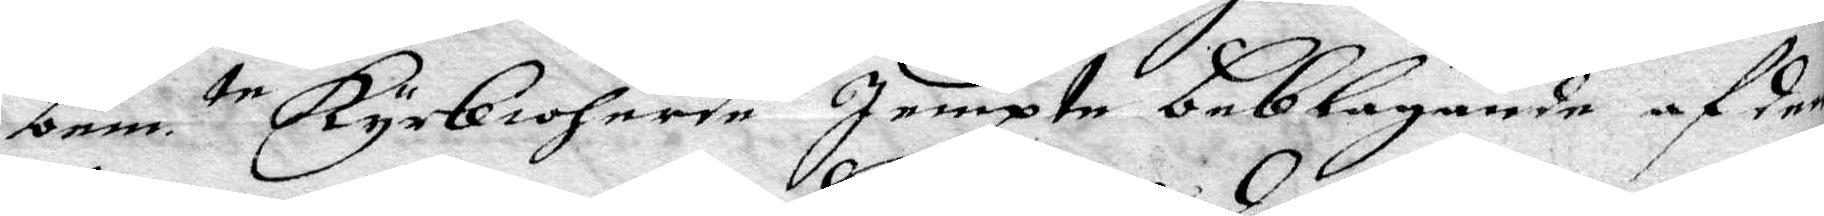bem. te Kyrkioherde Jempte Beklagande af den
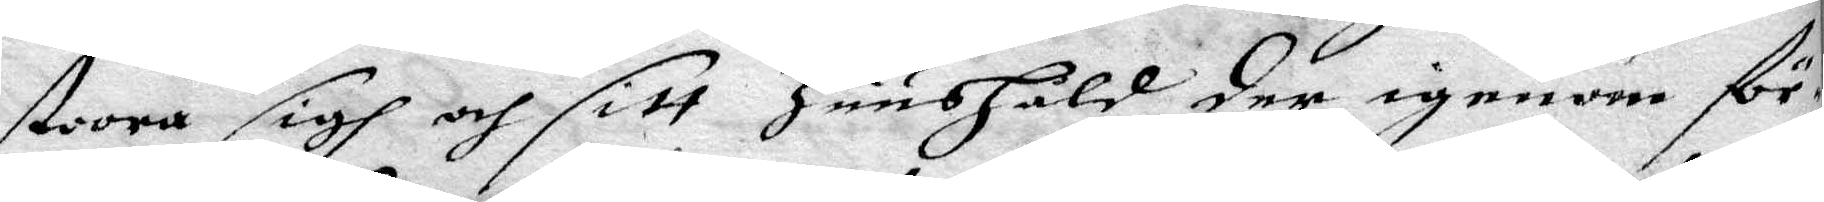stora sigh och sitt Huushåld der igenom för¬
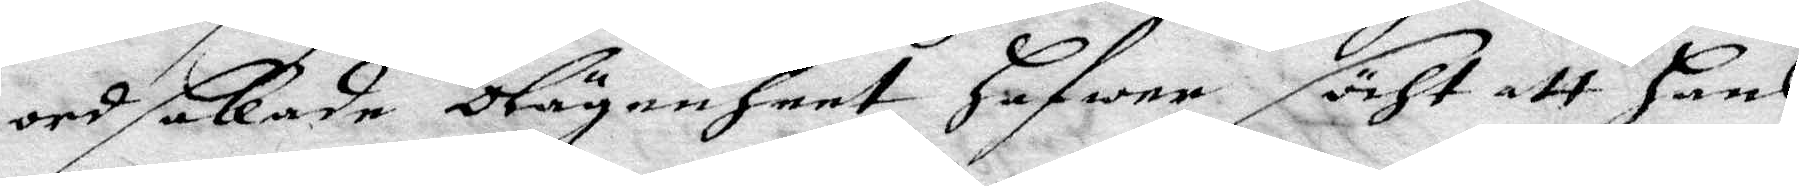ordsakade olägenheet, hafwer säht att hans
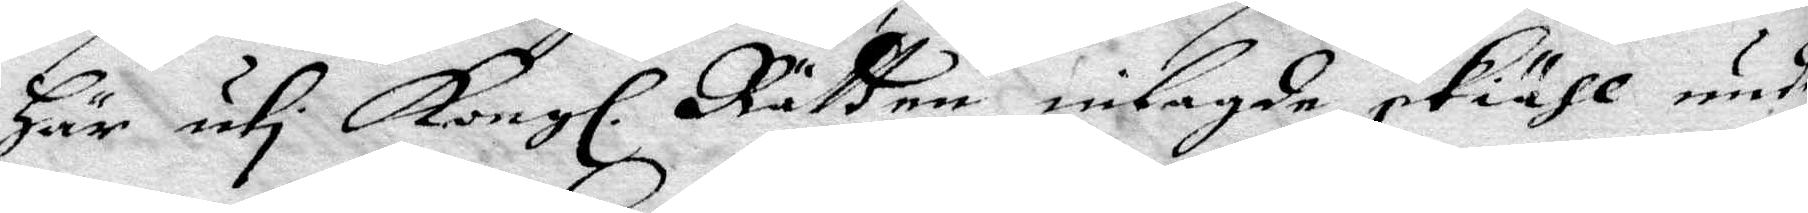här uti Kongl. Rätten inlagde skiähl under
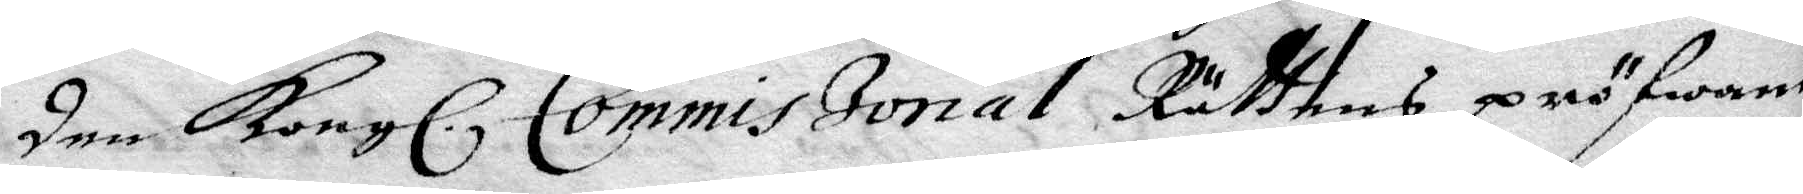den Kongl. Commiszorial Rättens pröfwande
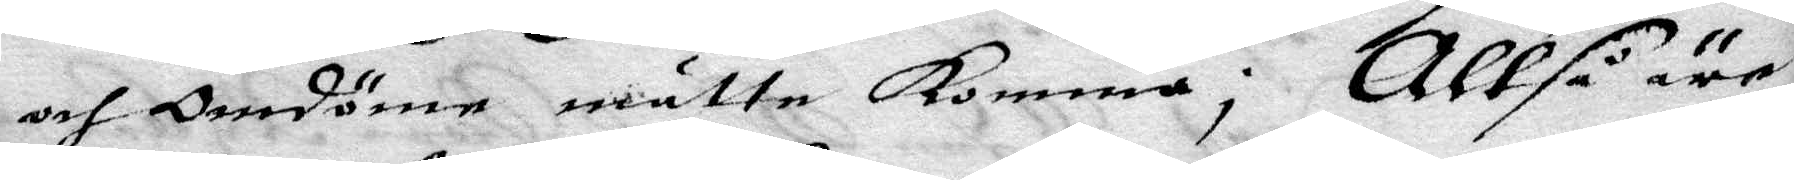ocj Omdöme måtte Komma; Altså är
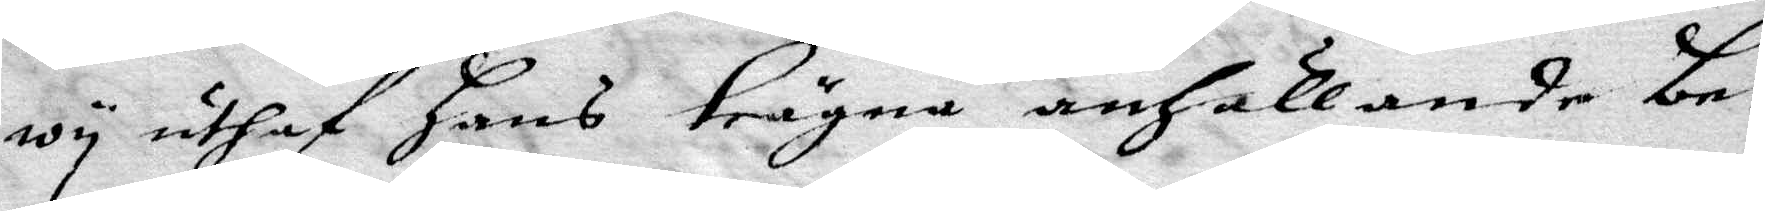wy uthaf hans trägna anhållande be¬
